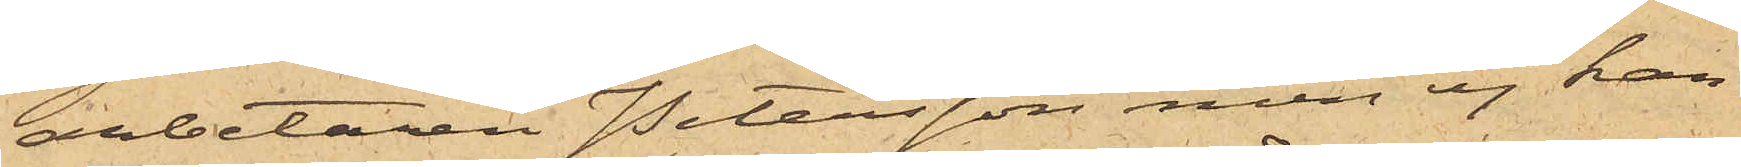arbetaren Petersson men ej kan
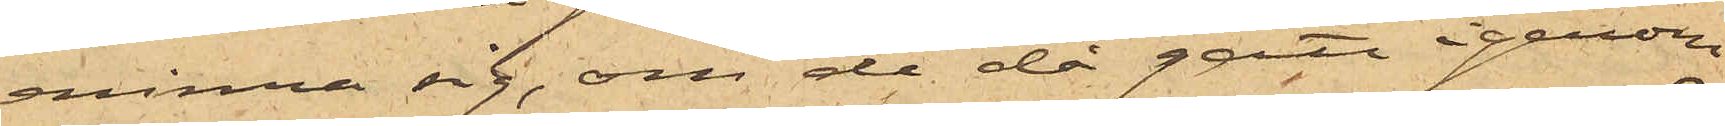erinra sig, om de då gått igenom
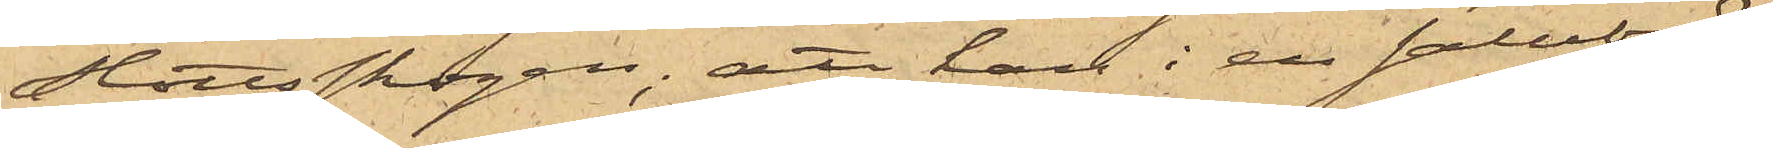Slottsskogen; att han i en salubod
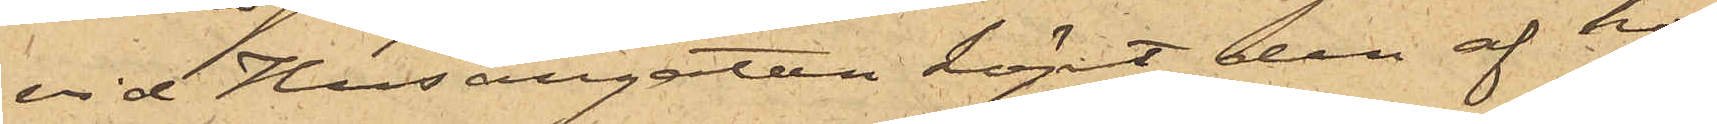vid Husargatan köpt den af ho¬
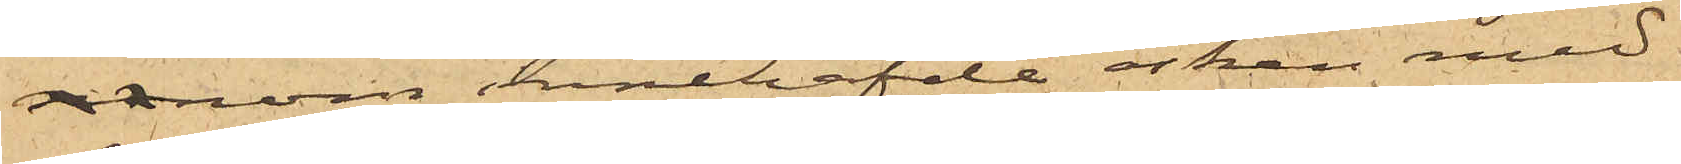nom innehafde asken med
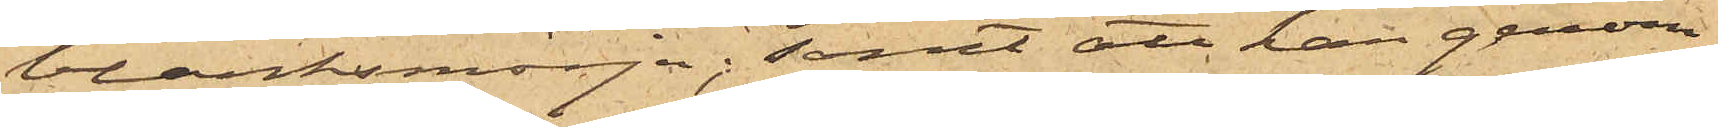blanksmörja; samt att han genom
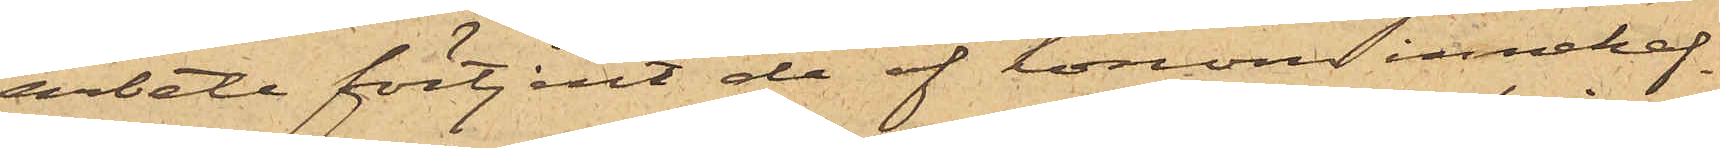arbete förtjent de af honom innehaf¬
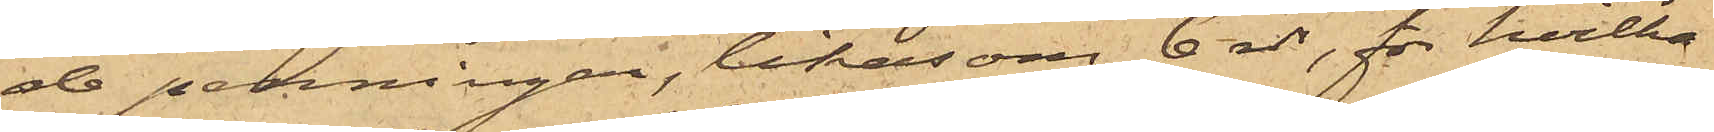de penningar, likasom 6 rdr, för hvilka
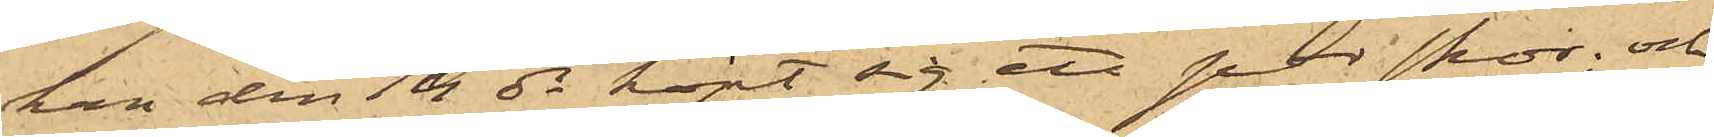han den 14 ds köpt sig ett par skor; och
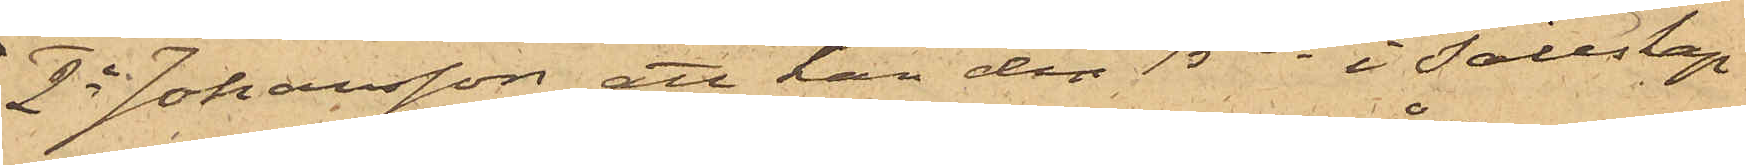2o Johansson att han den 15 ds i sällskap
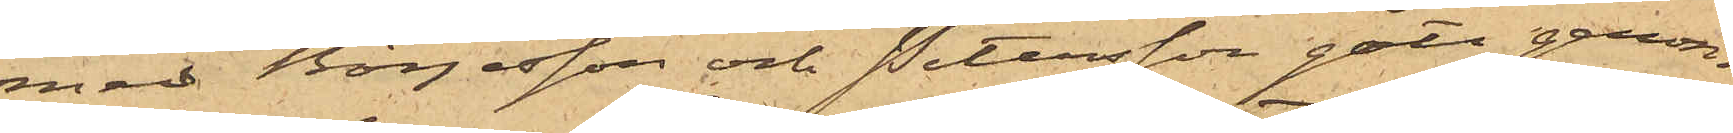med Börjesson och Petersson gått genom
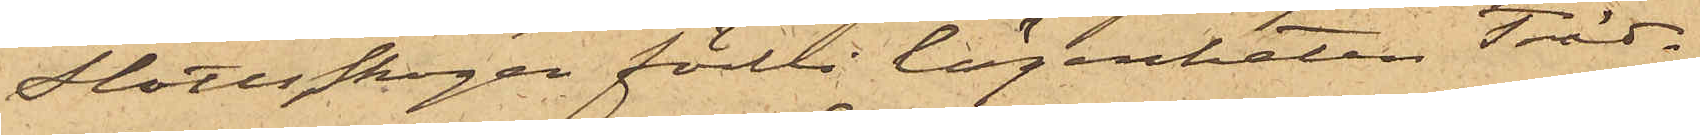Slottsskogen förbi lägenheten Träd¬
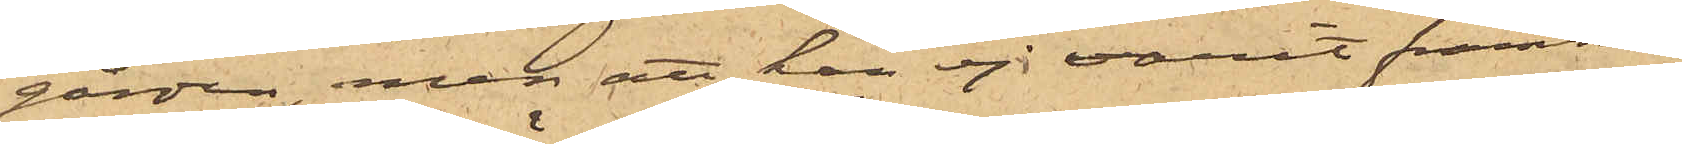gården, men att han ej varit framme
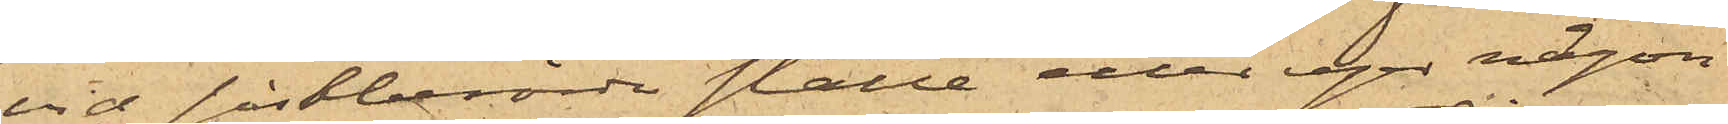vid sistberörde ställe eller eger någon
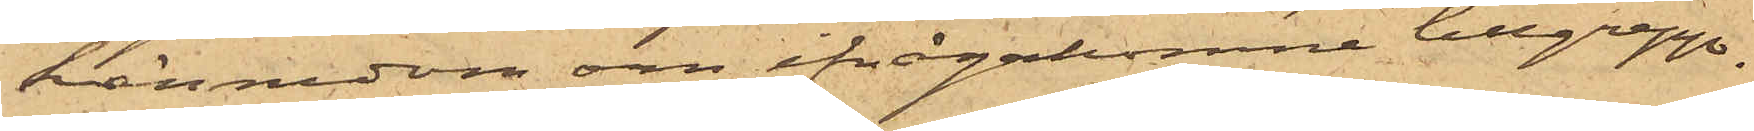kännedom om ifrågakomne tillgrepp.
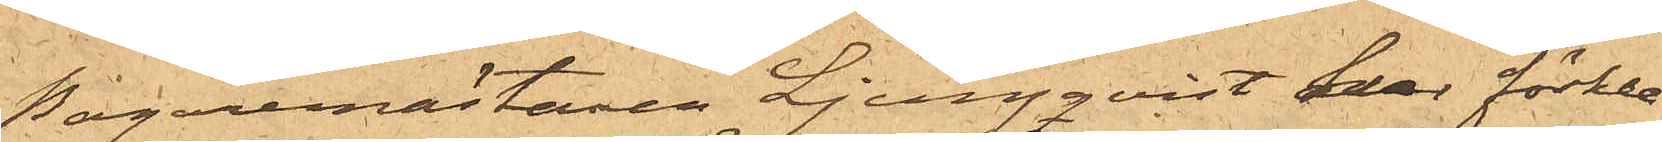Bagaremästaren Ljungqvist har förkla¬
